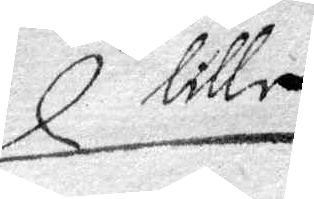lille
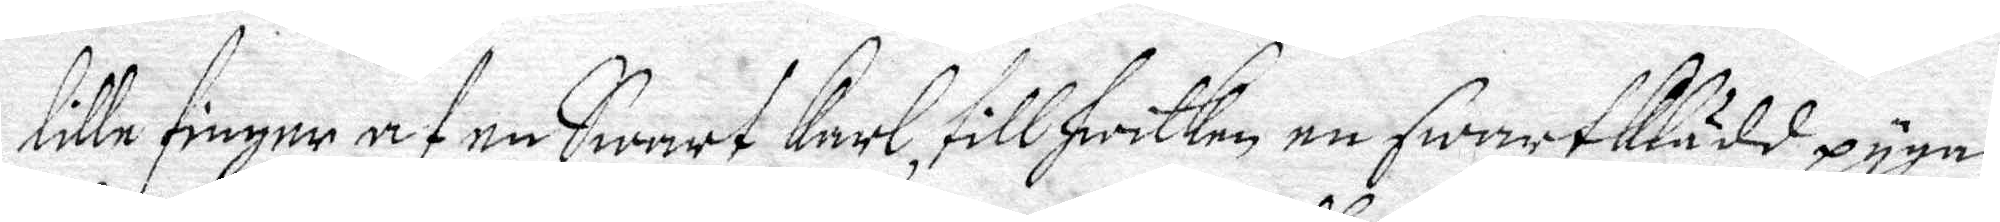lille finger af en Swart Karl, till hwilken en SwartKlädd pyga
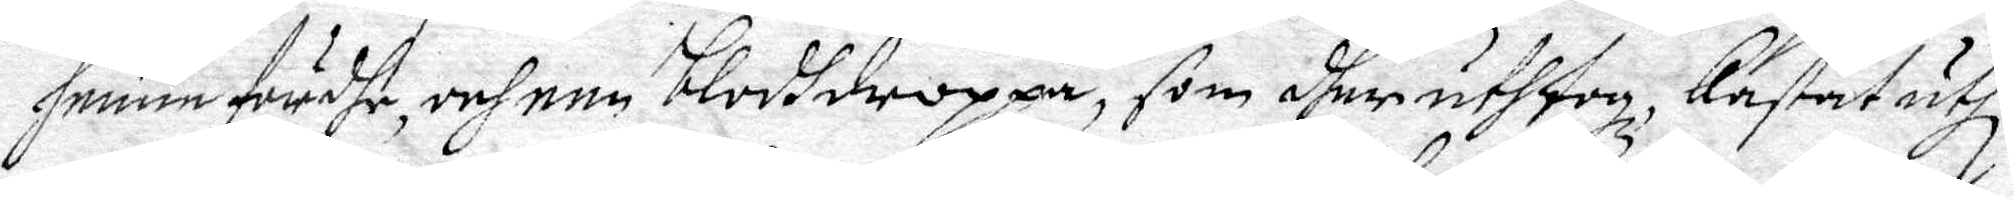henne fördhe, och een blodhdroppa, som dher uthtog kastat uthi
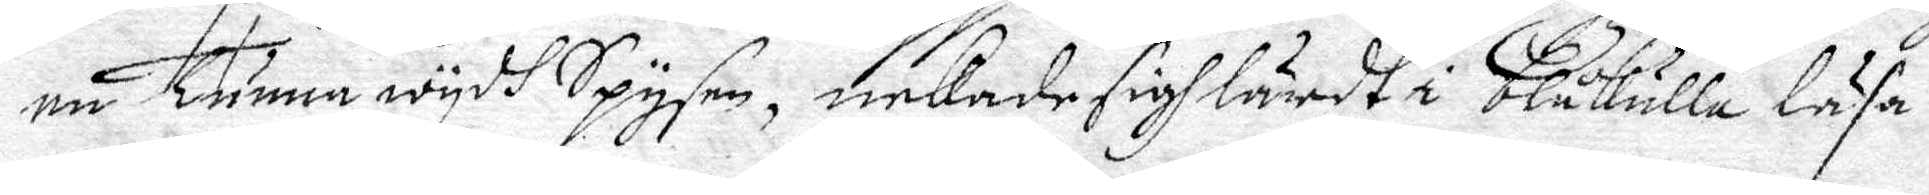en Tunna wydh Spysen, nekade sigh lärdt i Blåkulla läsa.
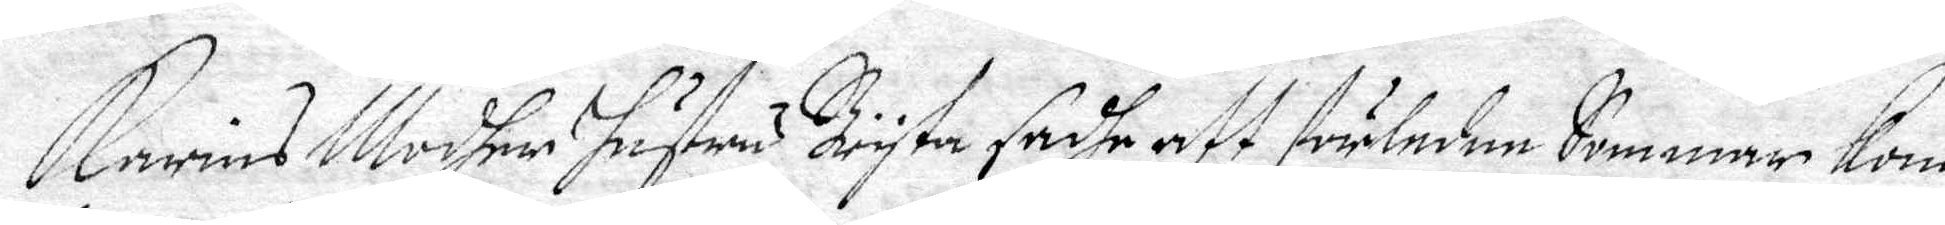Karins Modher hustru Bryta sadhe att förledne Sommar Kom
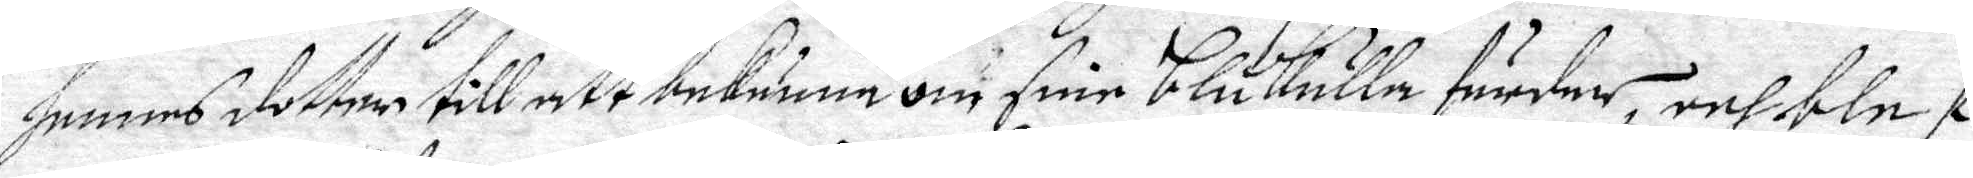hennes dotter till att bekänna om sine Blåkulla färder, och blef
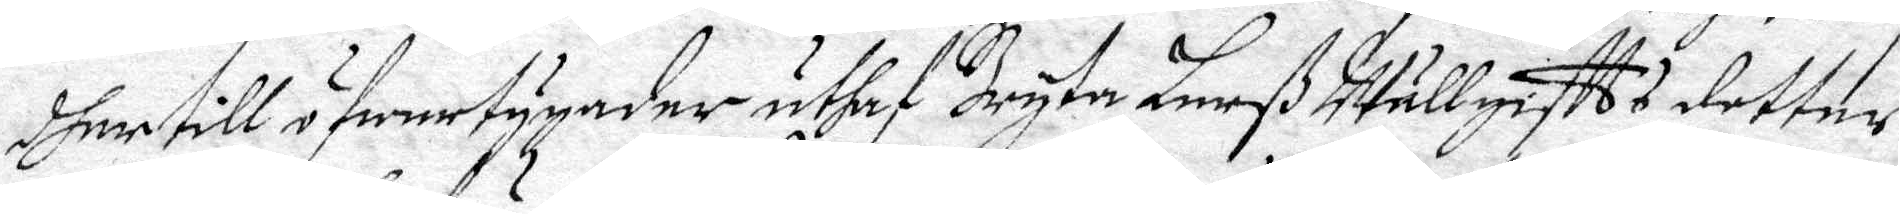dher till öfwertygader uthaf Bryta Larß Utällgifts dotter,
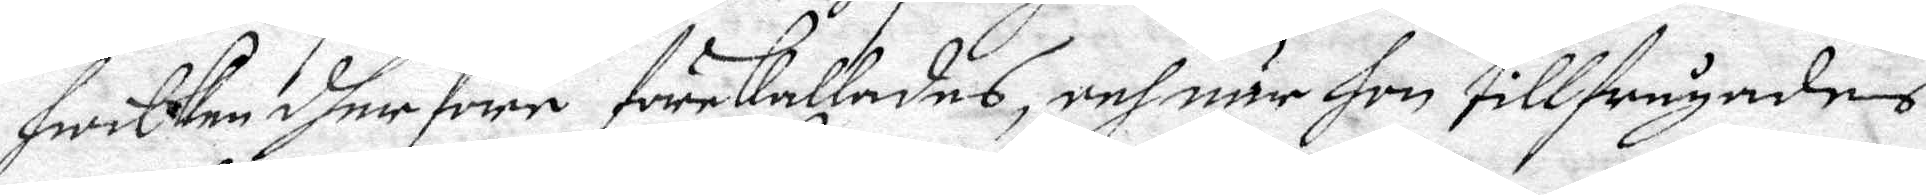hwilken dher före förekallades, och när hon tillfrågades
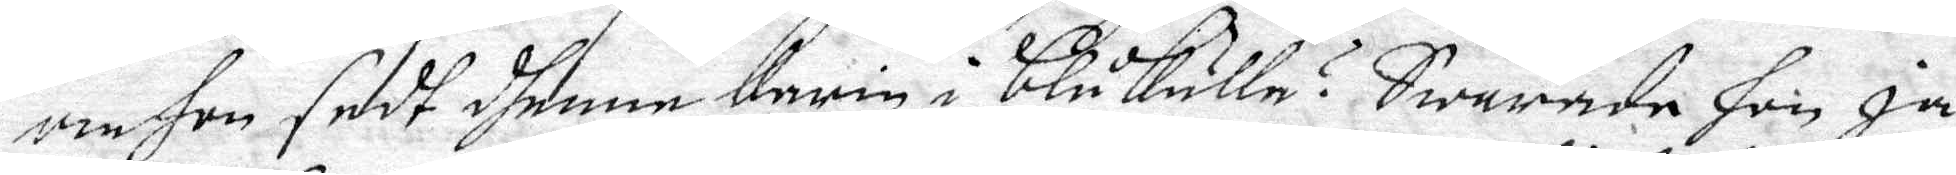om hon sedt dhenne Karin i blåkulla? Swarade hon ja,
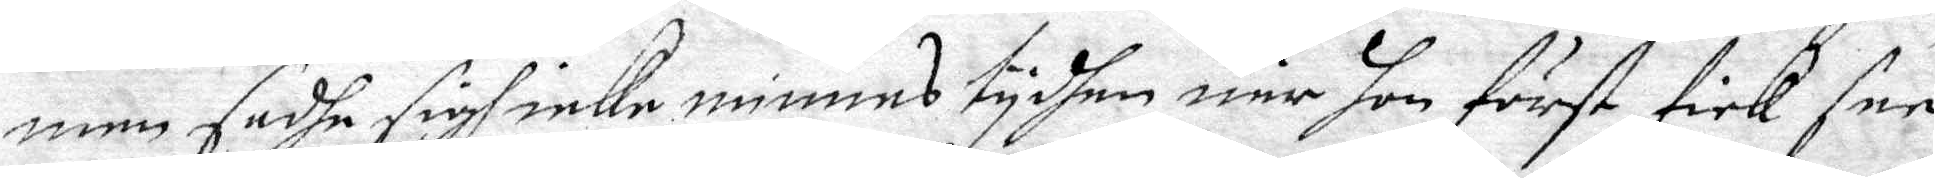men sadhe sigh icke minnas tydhen när hon först fick see
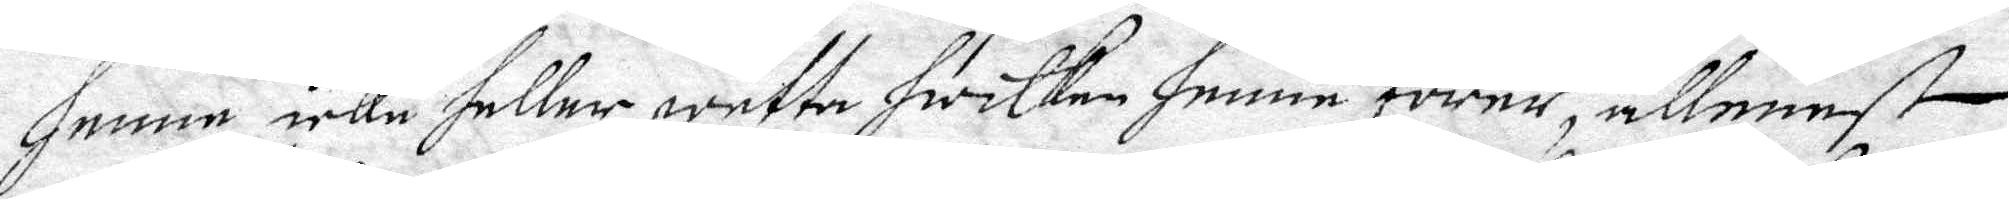henne, icke heller wetta hwilken henne förer, allenast
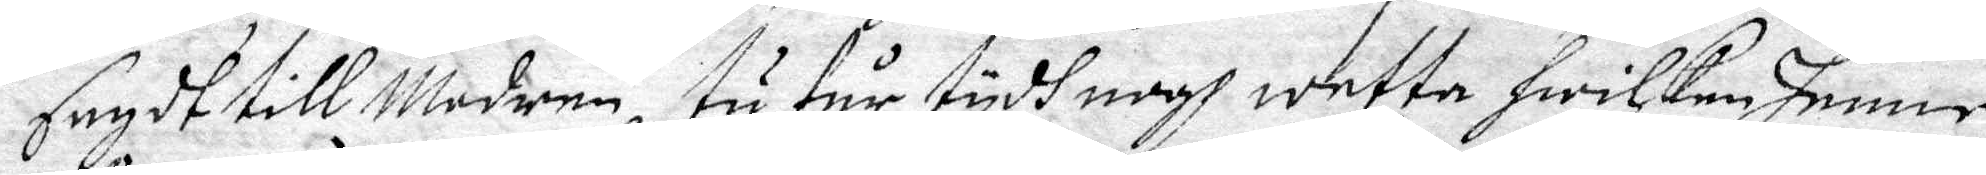sagdt till Modren tu får tydh nogh wetta hwilken henne
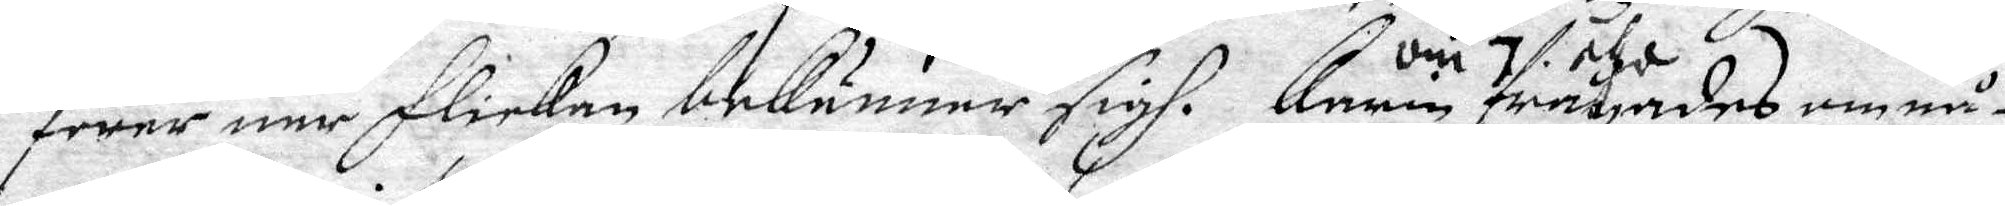förer när flickan bekänner sigh. Anna om 7 åhr frågades om nå¬
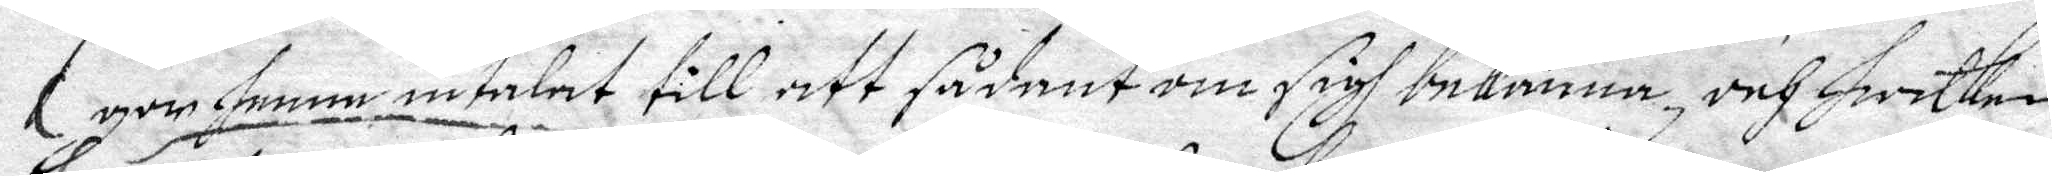gon henne intalat till att sådant om sigh bekänna, och hwilken
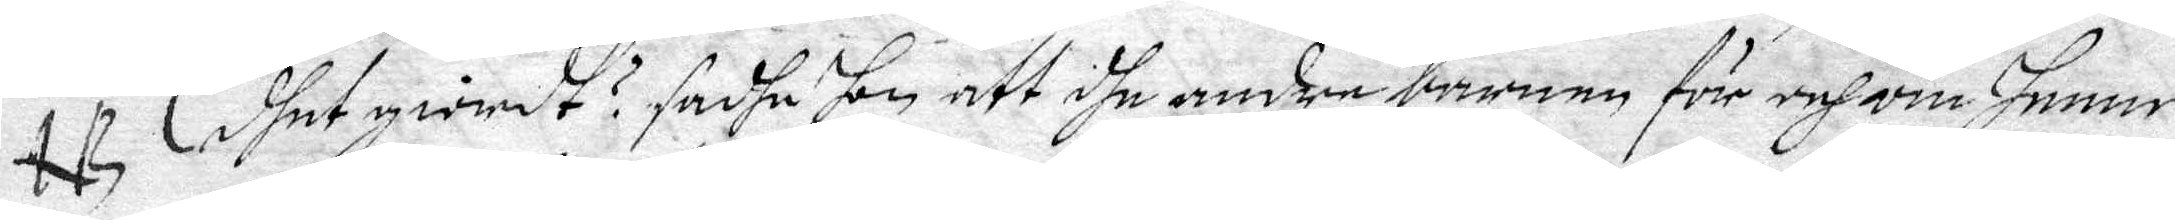NB dhet giordt? sadhe hon att dhe andre barnen för och om henne
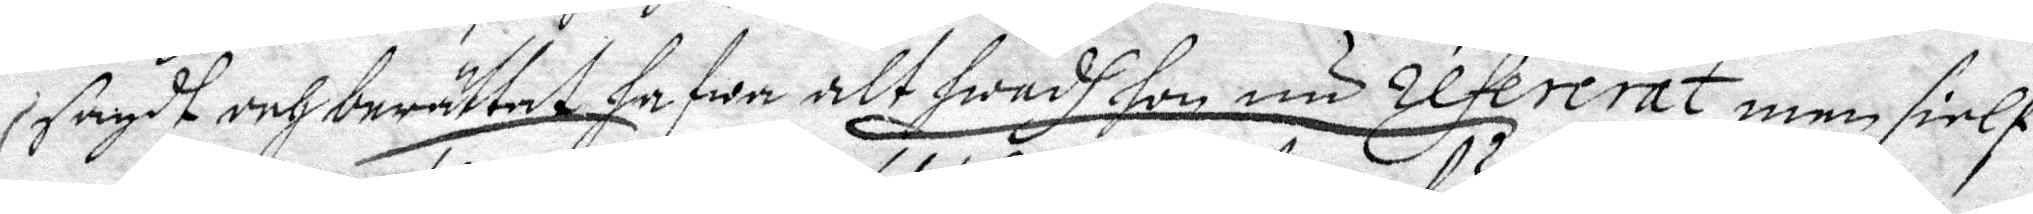sagdt och berättat hafwa alt hwadh hon nu refererat, men sielf
